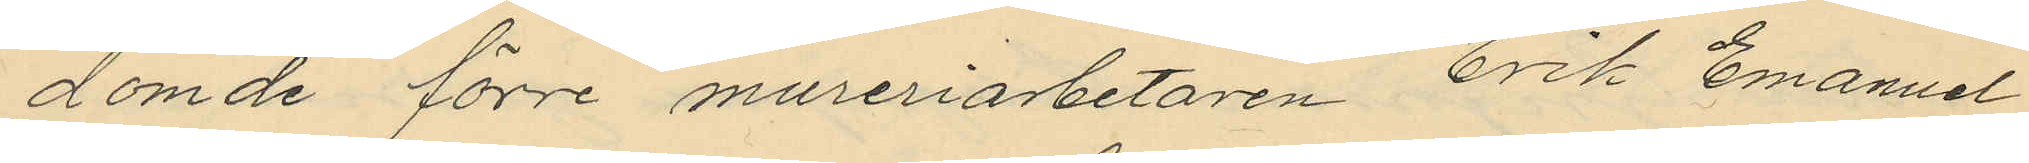dömde förre mureriarbetaren Erik Emanuel
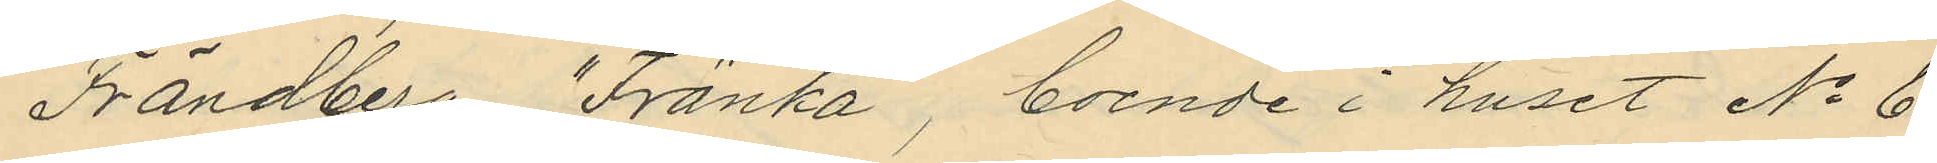Frändberg "Fränka", boende i huset No 6
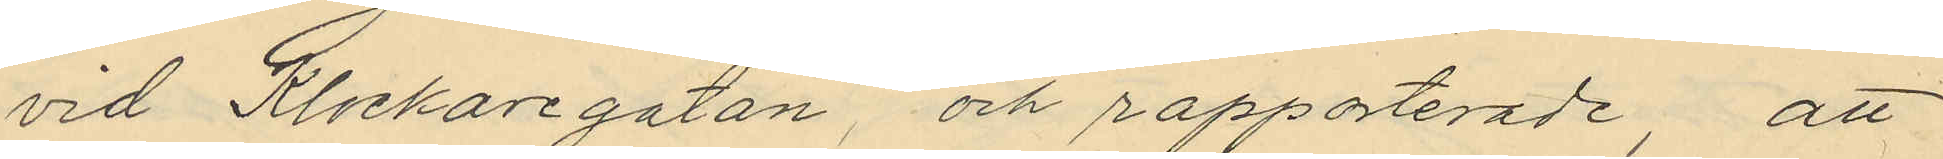vid Klockaregatan, och rapporterade, att
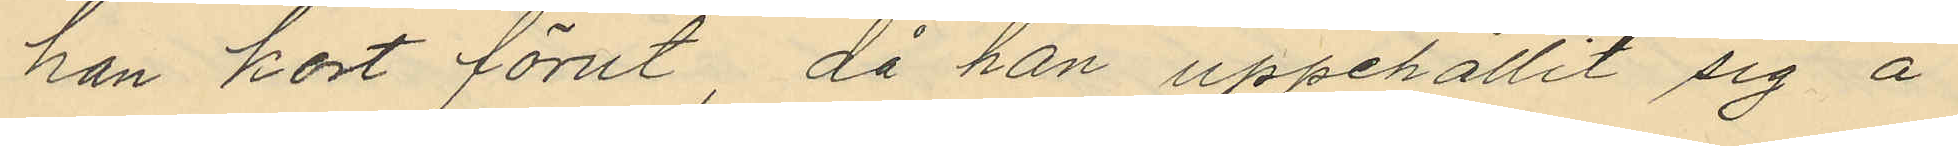han kort förut, då han uppehållit sig å
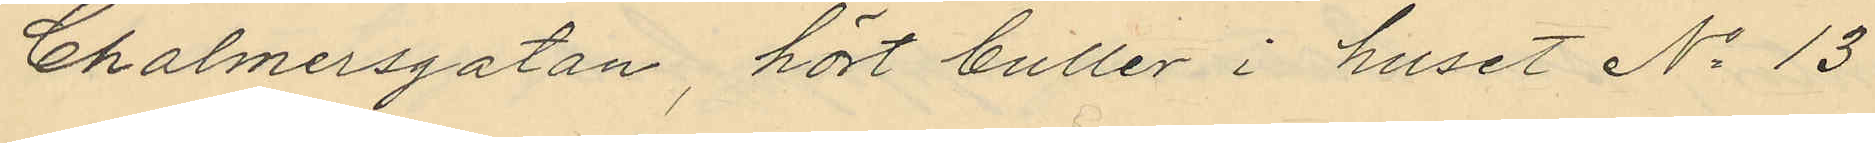Chalmersgatan, hört buller i huset No 13
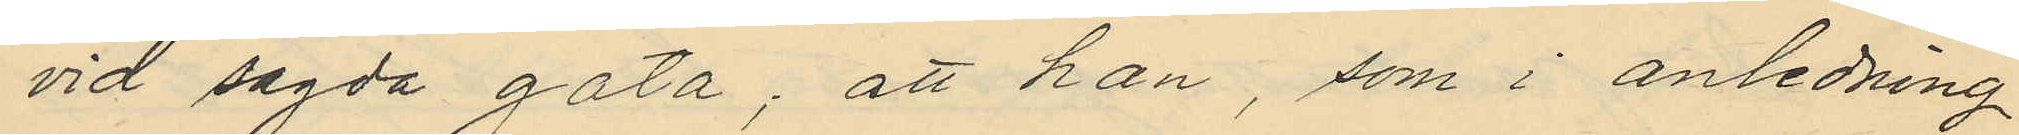vid sagda gata; att han, som i anledning
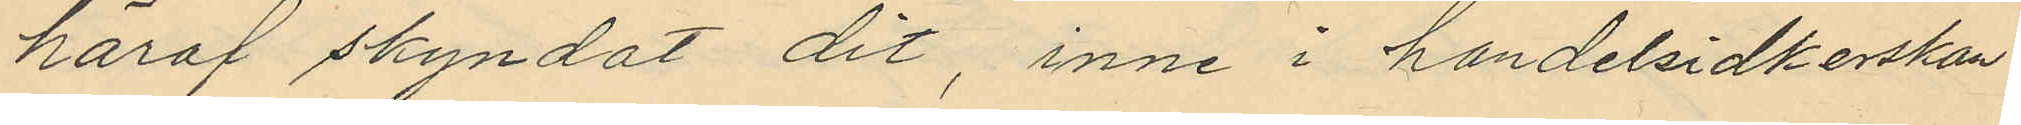häraf skyndat dit, inne i handelsidkerskan
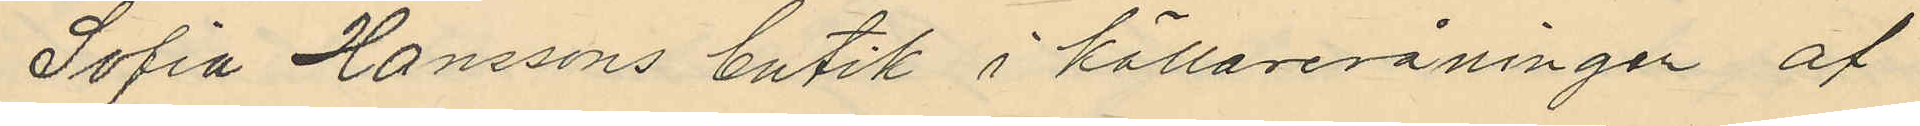Sofia Hanssons butik i källarervåningen af
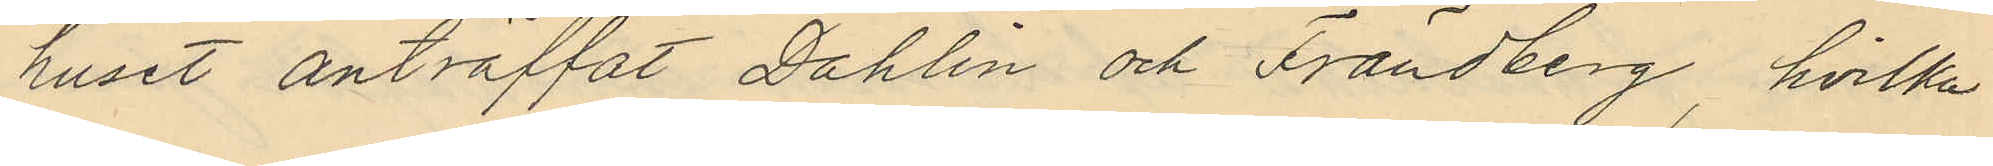huset anträffat Dahlin och Frändberg, hvilka
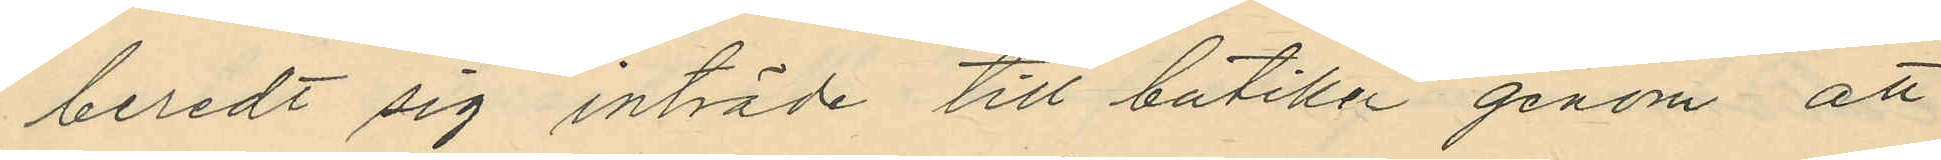beredt sig inträde till butiken genom att
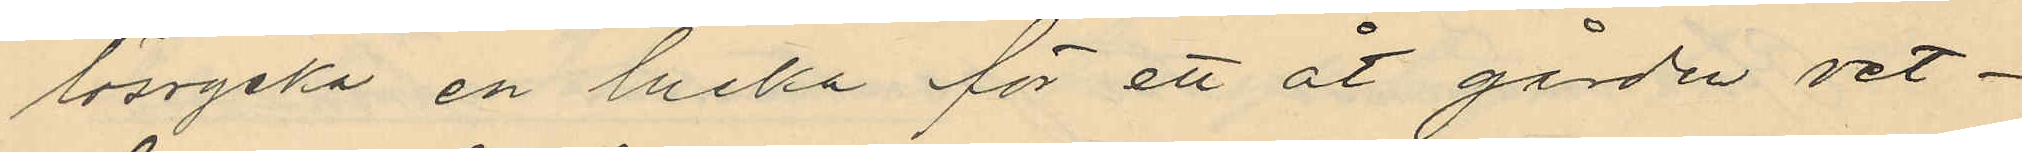lösrycka en lucka för ett åt gården vet¬
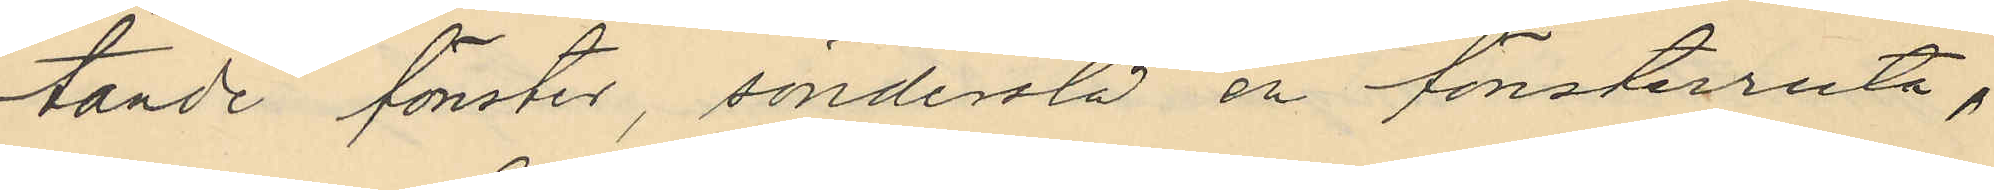tande fönster, sönderslå en fönsterruta,
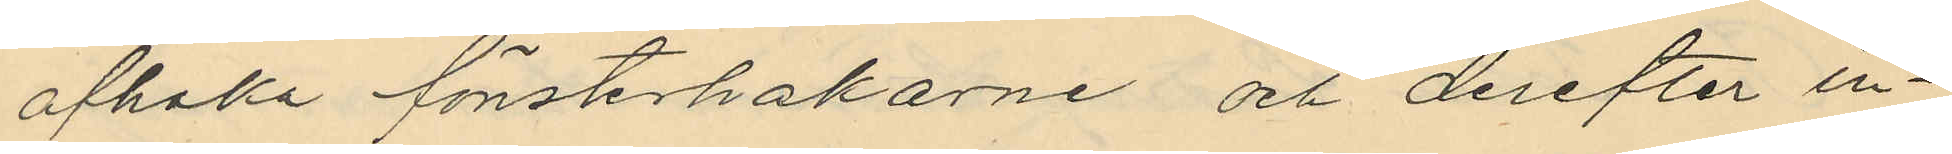afhaka fönsterhakarne och derefter in¬
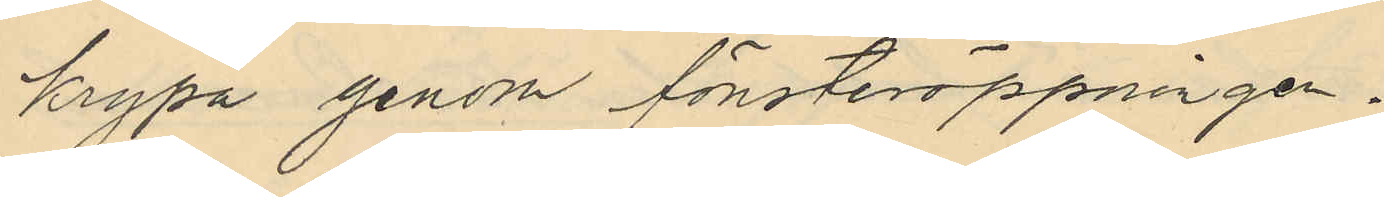krypa genom fönsteröppningen.
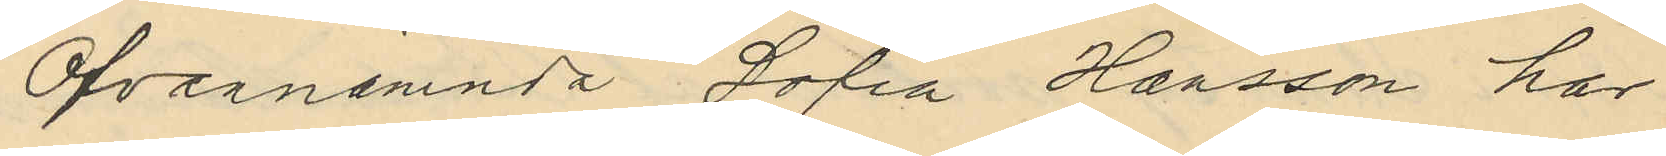Ofvannämnda Sofia Hansson har
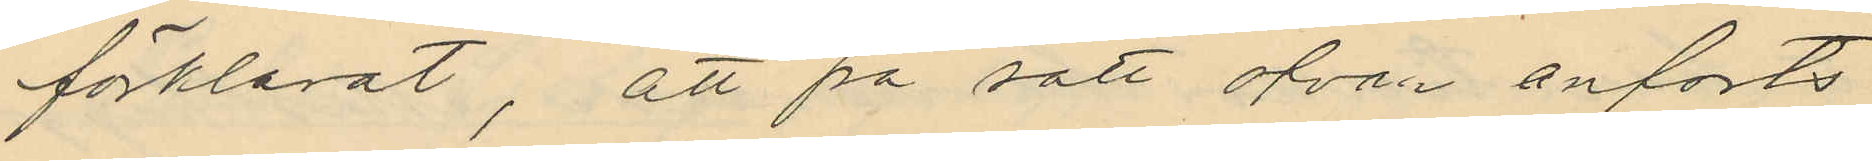förklarat, att på sätt ofvan anforts¬
